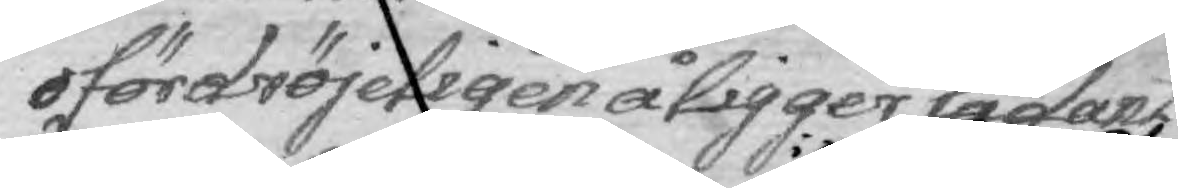ofördröjeligen åligger sådant
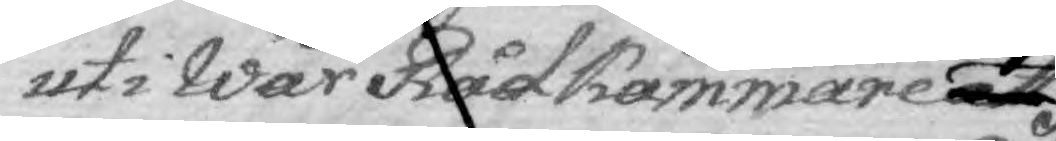uti Wår Rådkammare att
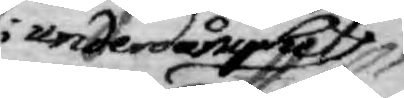i underdånighet
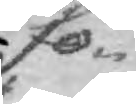fö¬
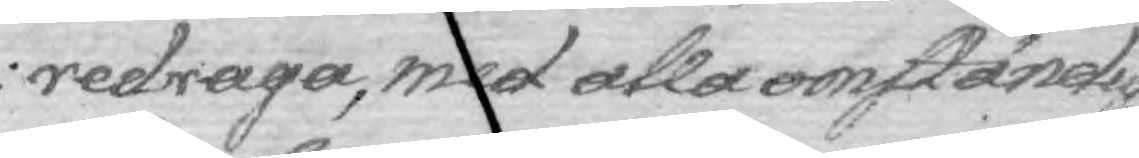redraga, med alla omständig¬
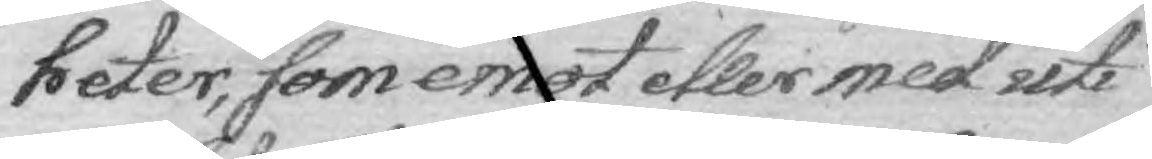heter, som emot eller med uti
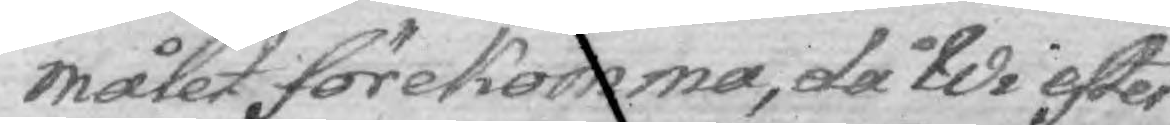målet förekomma, så Wi efter
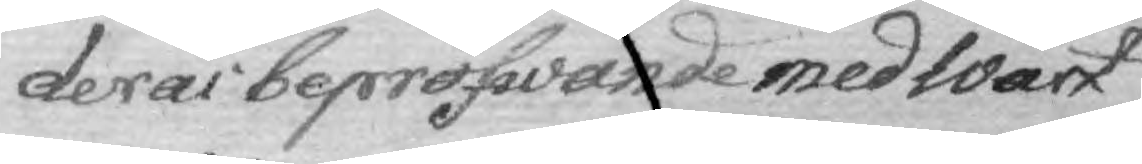deras bepröfwande med Wårt
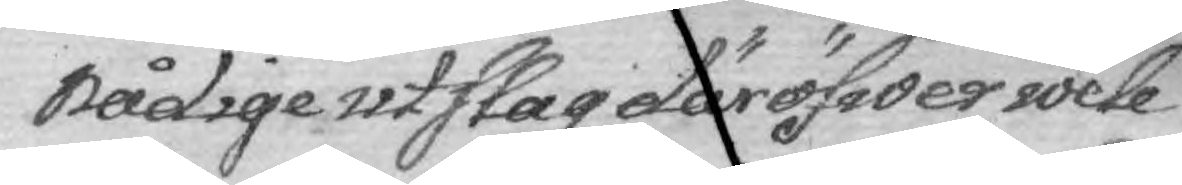nådige utslag däröfwer wele
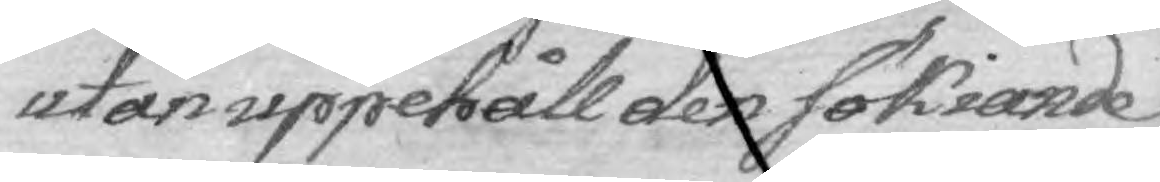utan uppehåll den sökiande
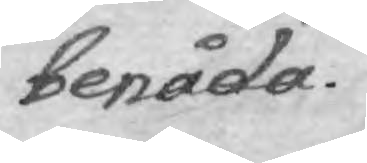benåda.
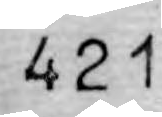421
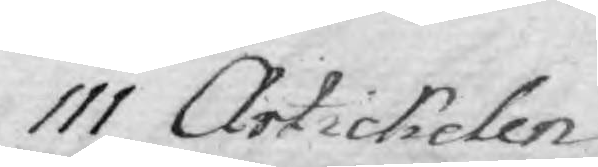111 Artickelen
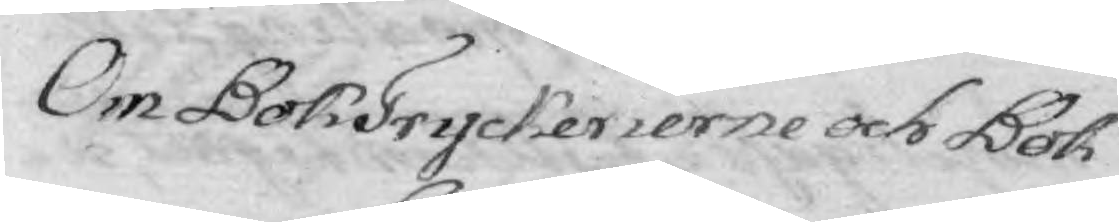Om BokTryckerierne och Bok¬
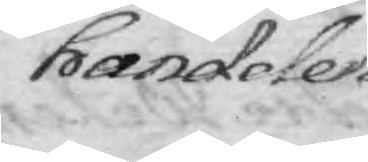handelen.
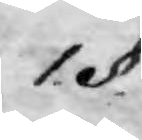1. §.
